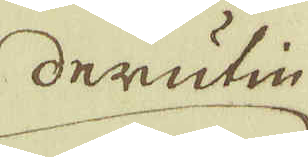derutin
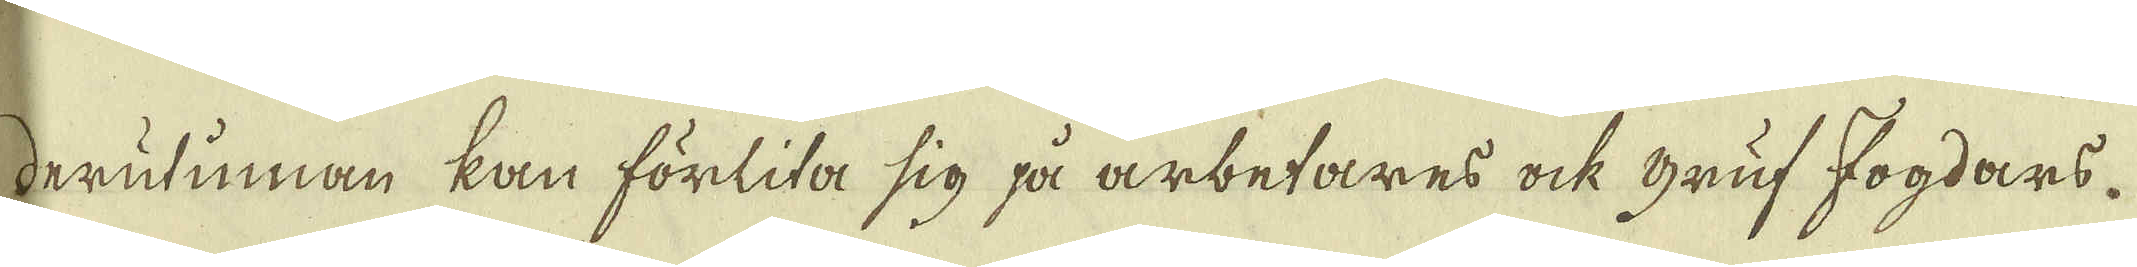derutinnan kan förlita sig på arbetares ock Gruf Fogdars
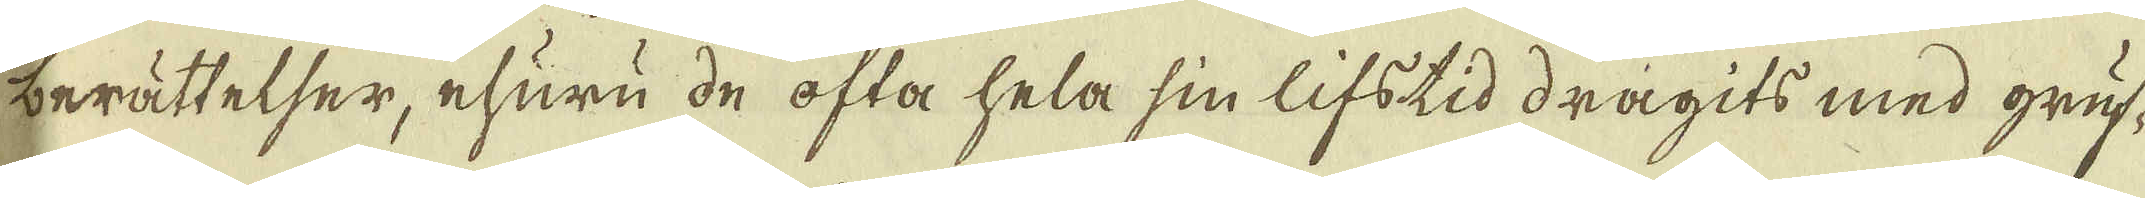berättelser, ehuru de ofta hela sin lifstid dragits med gruf-
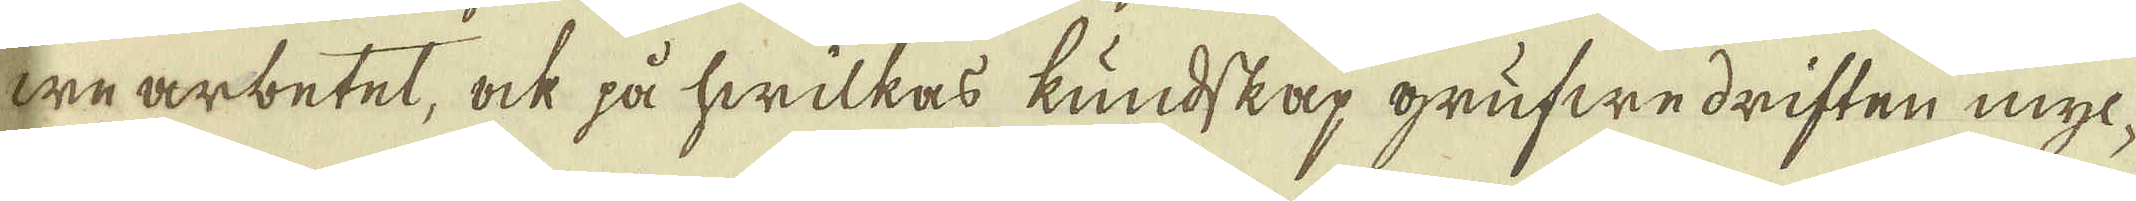we arbetet, ock på hwilkas kundskap grufwedriften myc-
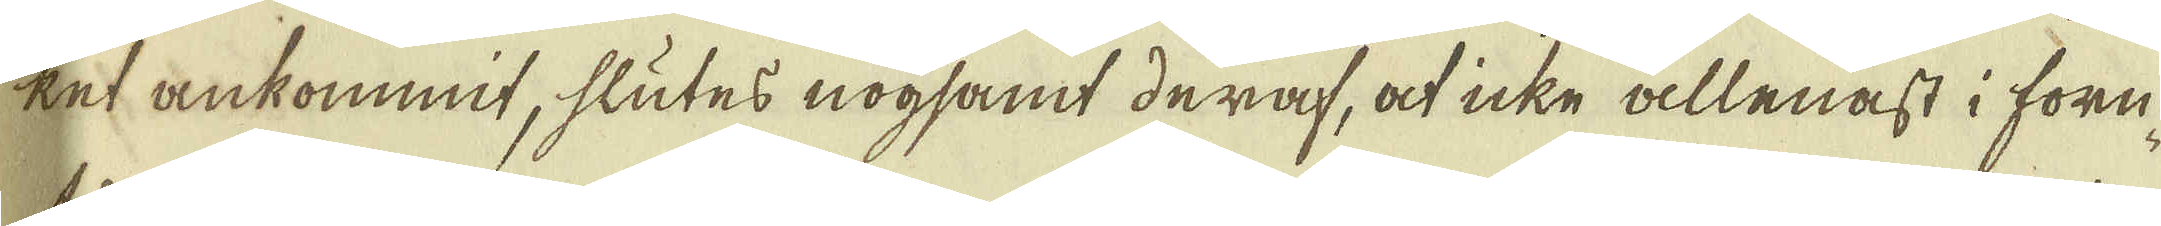ket ankommit, slutes nogsamt deraf, at icke allenast i forn-
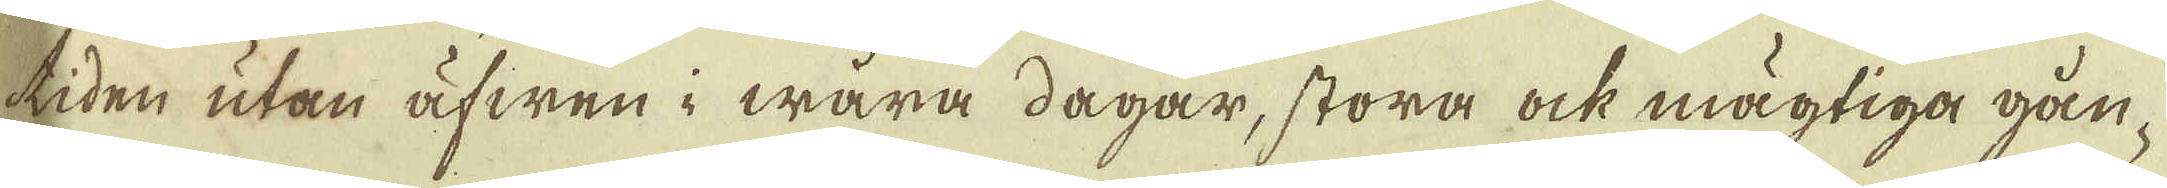tiden utan äfwen i wåra dagar, stora ock mägtiga gån-
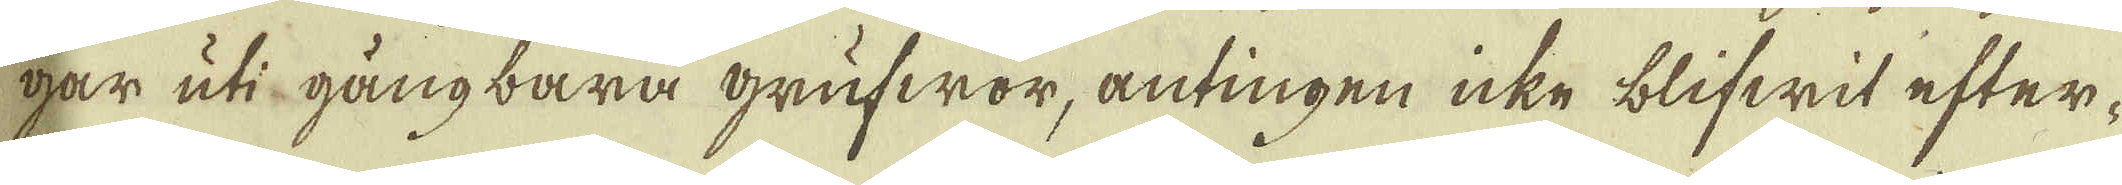gar uti gångbara grufwor, antingen icke blifwit efter-
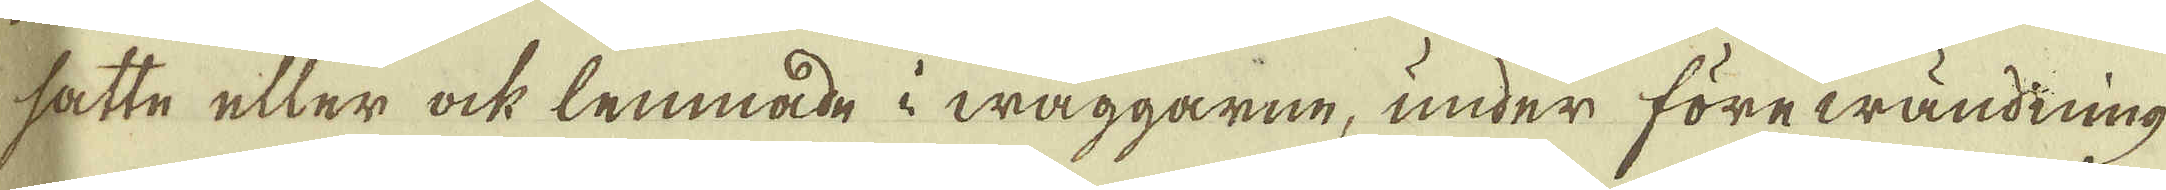satte eller ock lemnade i wäggarne, under förewändning
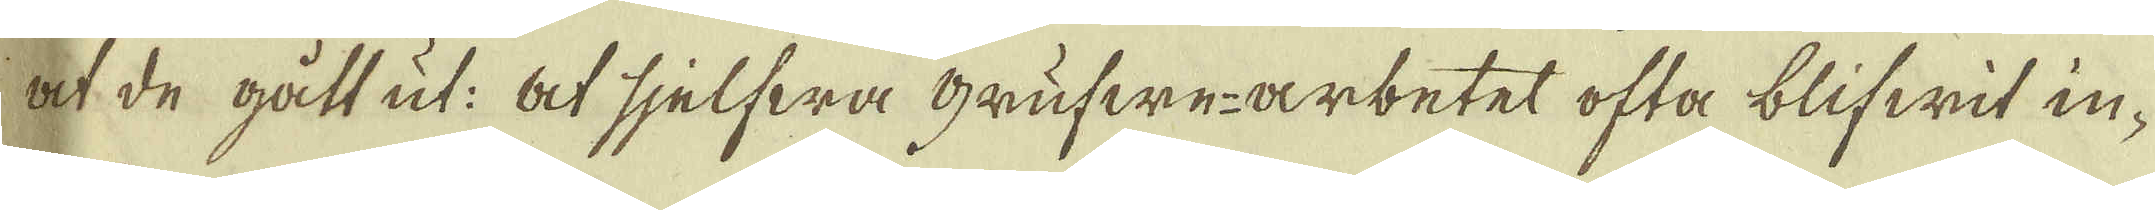at de gått ut: At sjelfwa grufwe-arbetet ofta blifwit in-
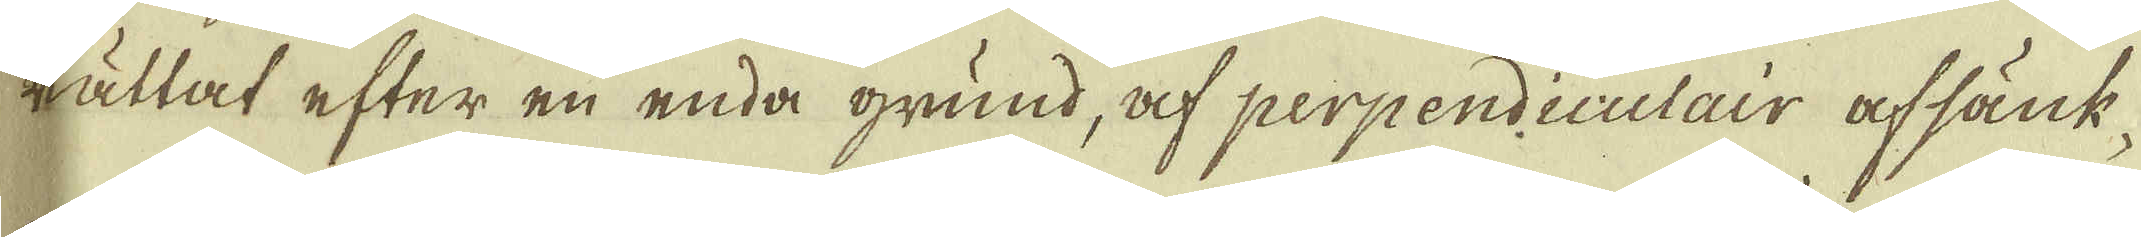rättat efter en enda grund, af perpendiculair afsänk-
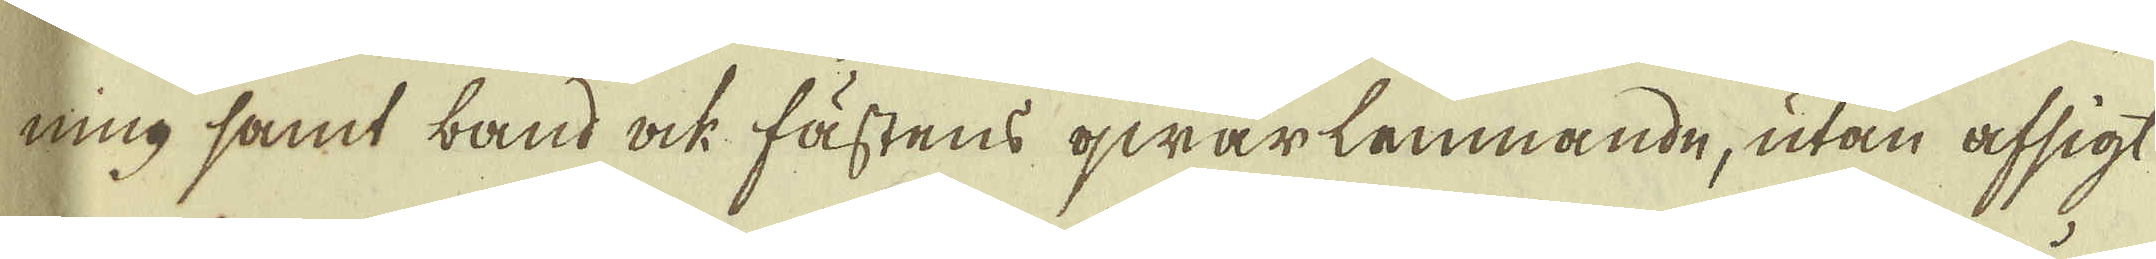ning samt band ock fästens qwarlemnande, utan afsigt
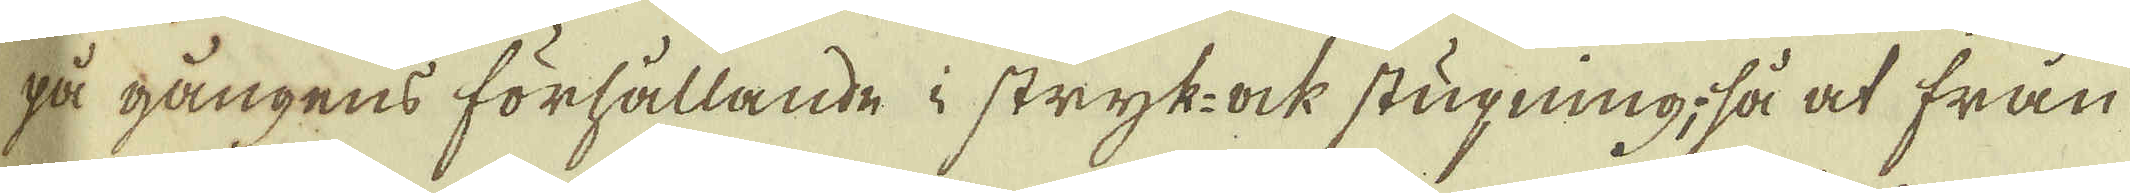på gångens förhållande i stryk- ock stugning, så at från
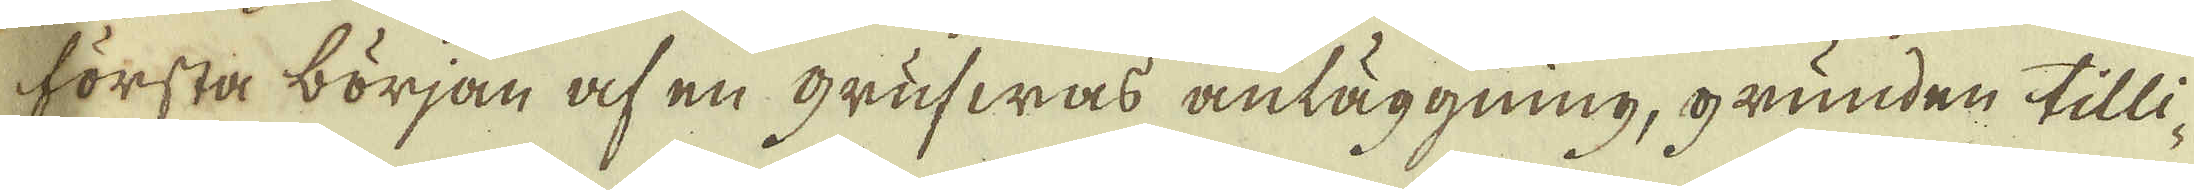första början af en Grufwas anläggning, grunden tilli-
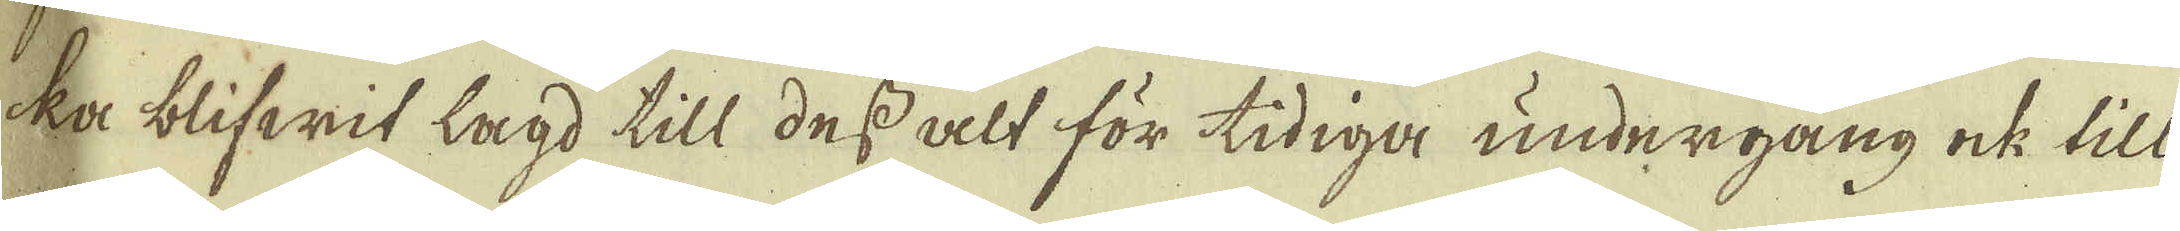ka blifwit lagd till des alt för tidiga undergång ock till
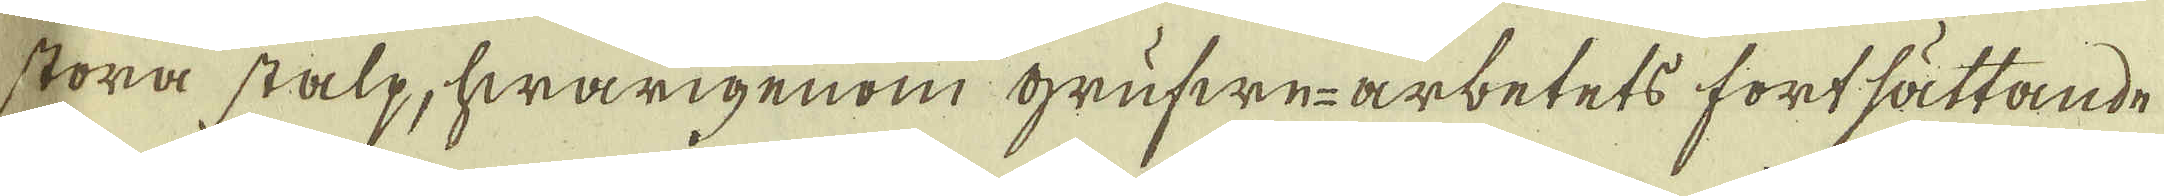stora stalp, hwarigenom grufwe-arbetets fortsättande
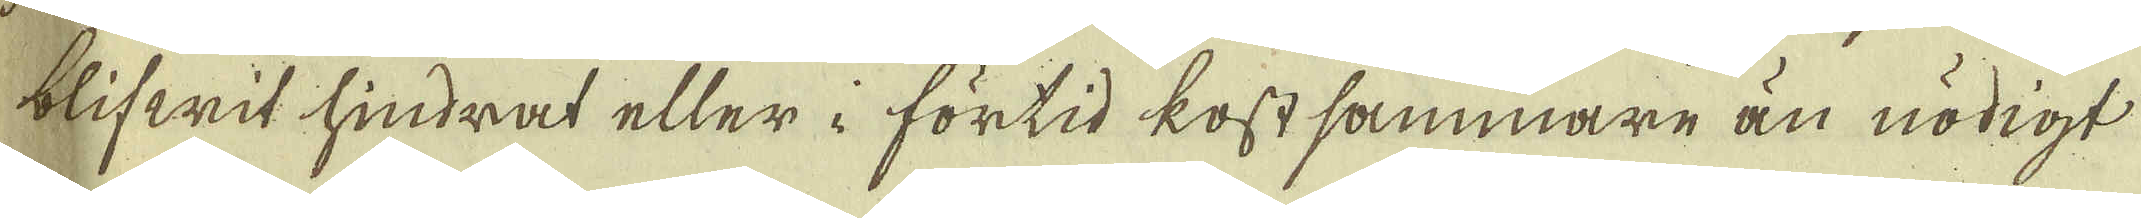blifwit hindrat eller i förtid kostsammare än nödigt
